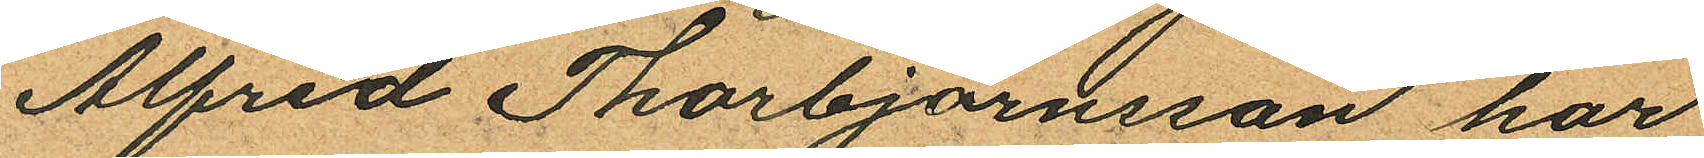Alfred Thorbjörnsson har
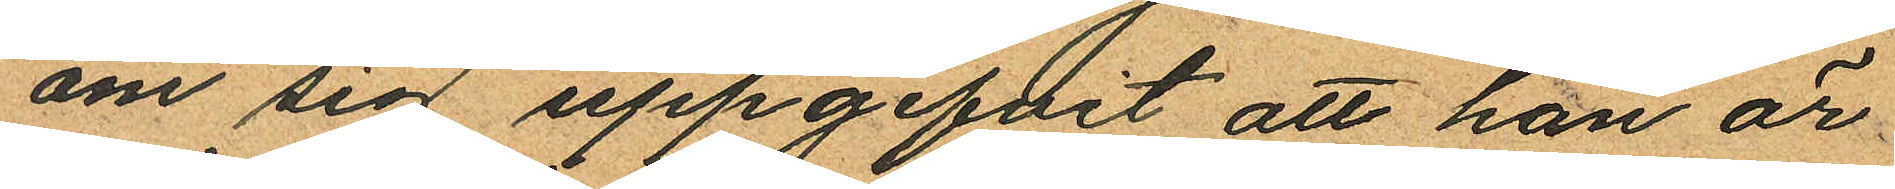om sig uppgifvit att han är
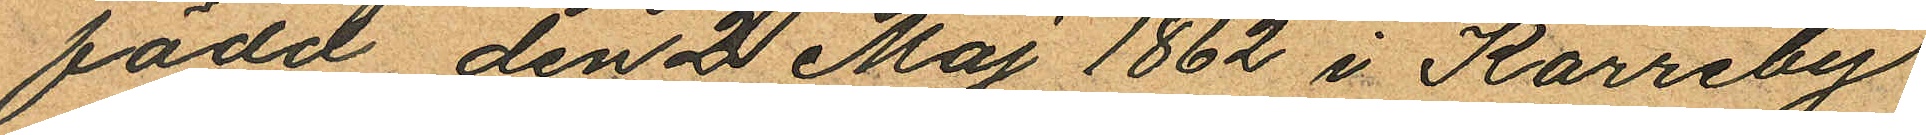född den 2 Maj 1862 i Karreby
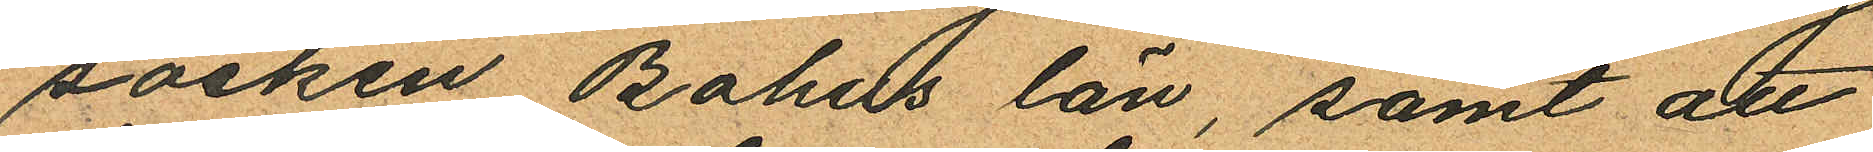socken Bohus län, samt att
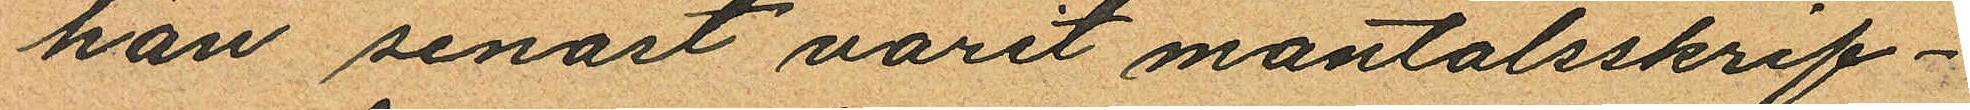han senast varit mantalsskrif¬
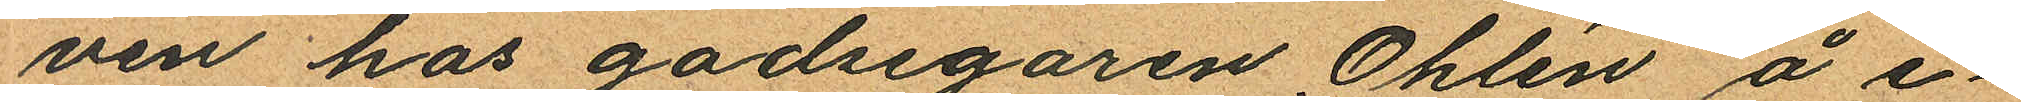ven hos godsegaren Ohlén å e¬
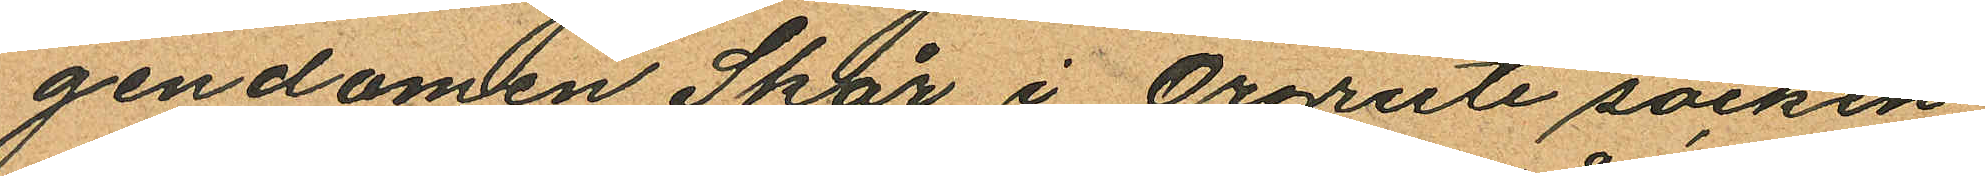gendomen Skår i Örgryte socken
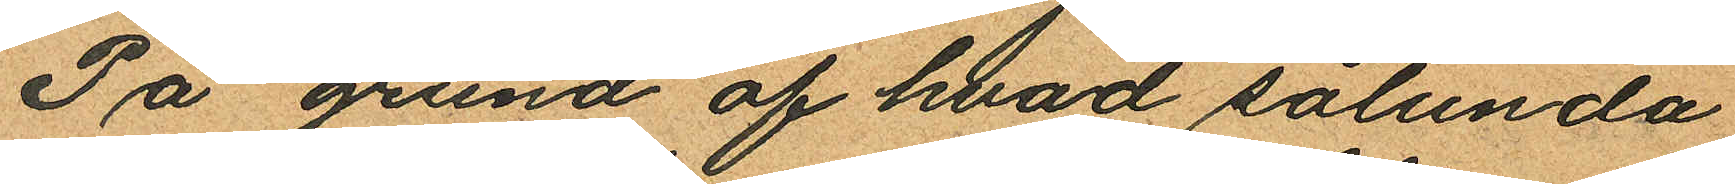På grund af hvad sålunda
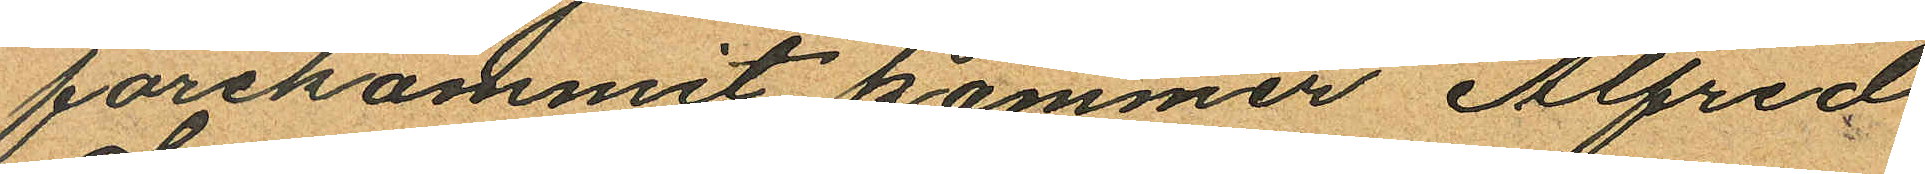förekommit kommer Alfred
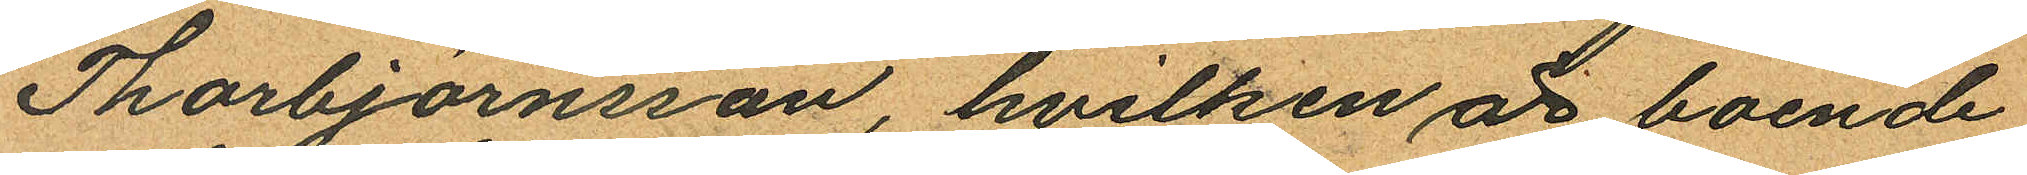Thorbjörnsson, hvilken är boende
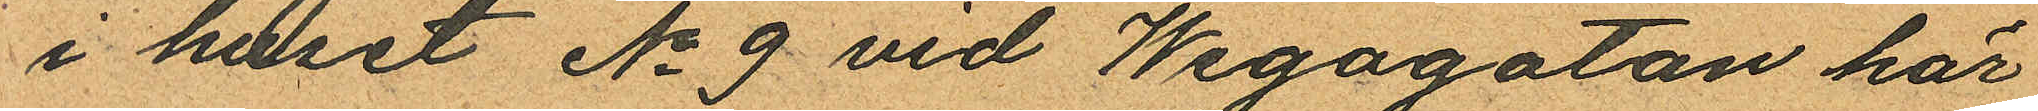i huset No 9 vid Wegagatan här
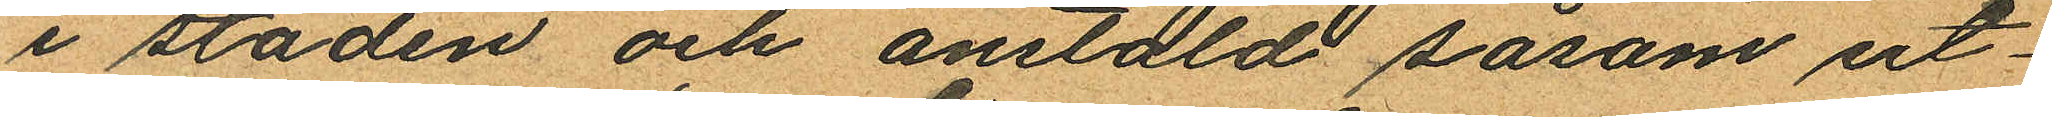i staden och anstäld såsom ut¬
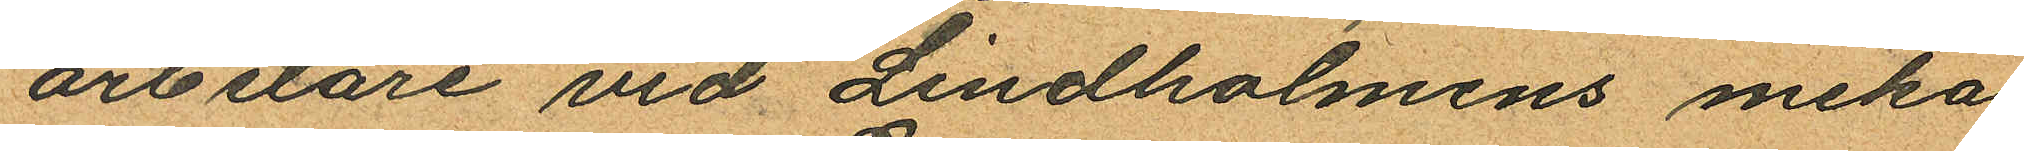arbetare vid Lindholmens meka
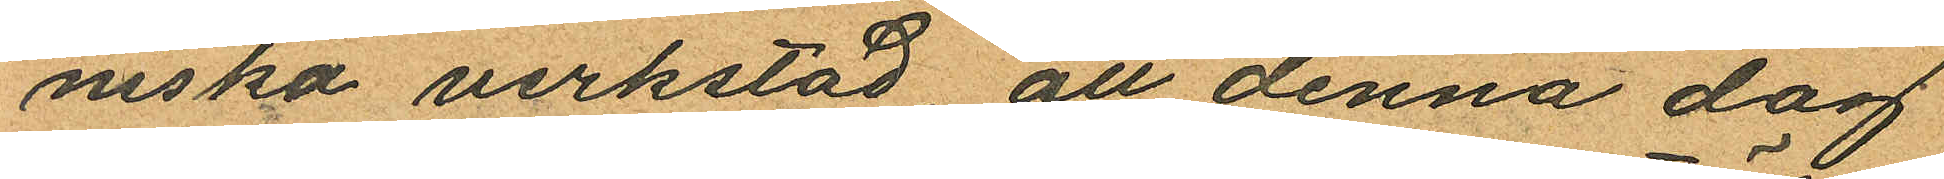niska verkstad, att denna dag
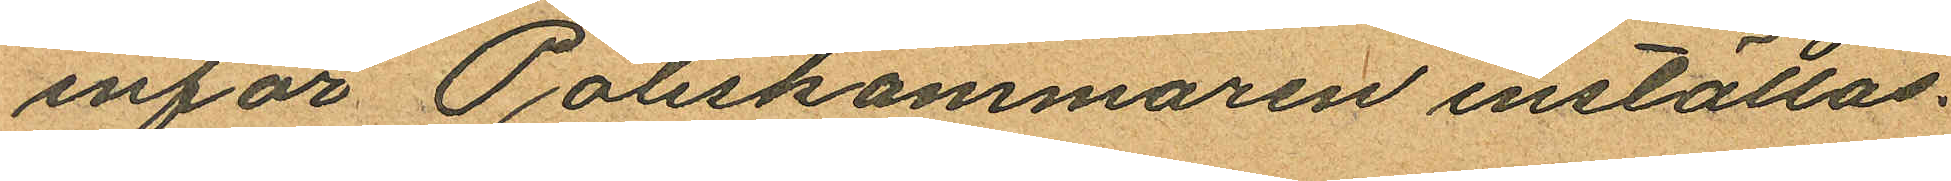inför Poliskammaren inställas.
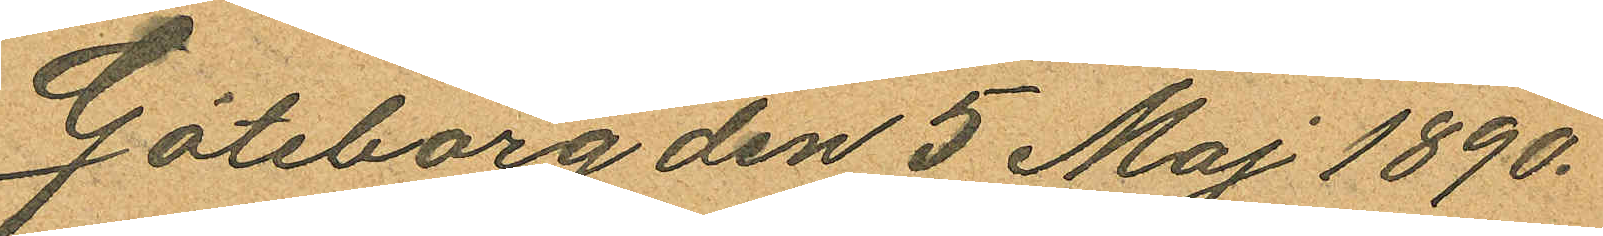Göteborg den 5 Maj 1890.
